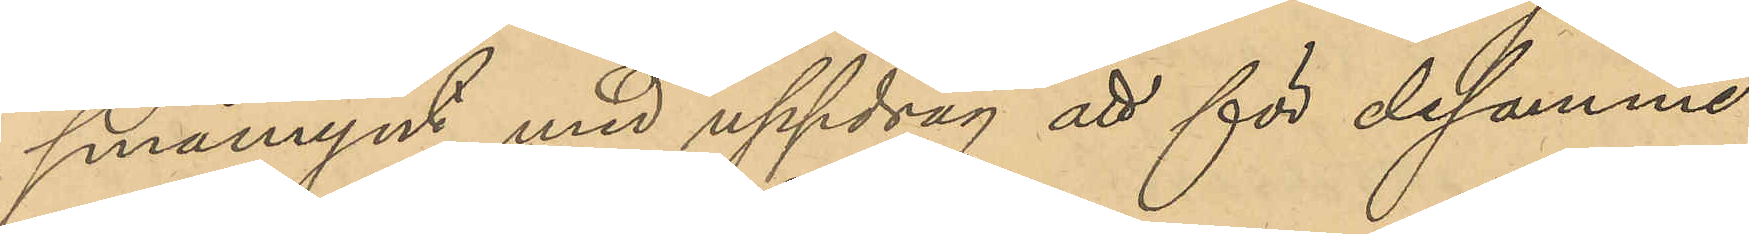småmynt med uppdrag att för desamma
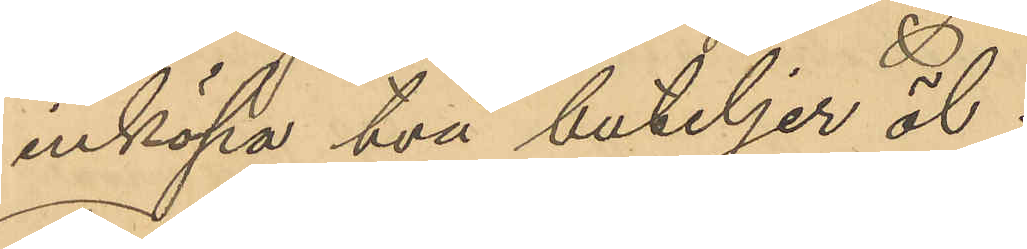inköpa två buteljer öl;
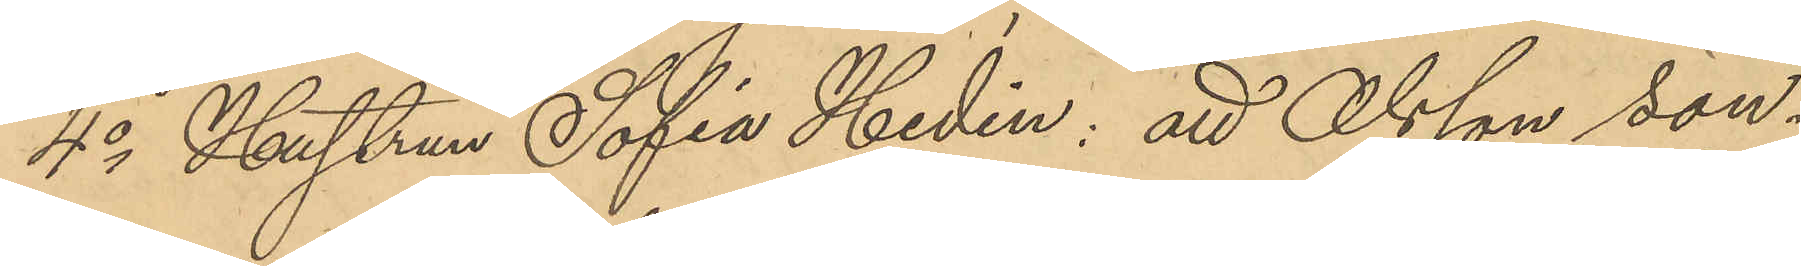4o Hustrun Sofia Hedin: att Olsson sön¬
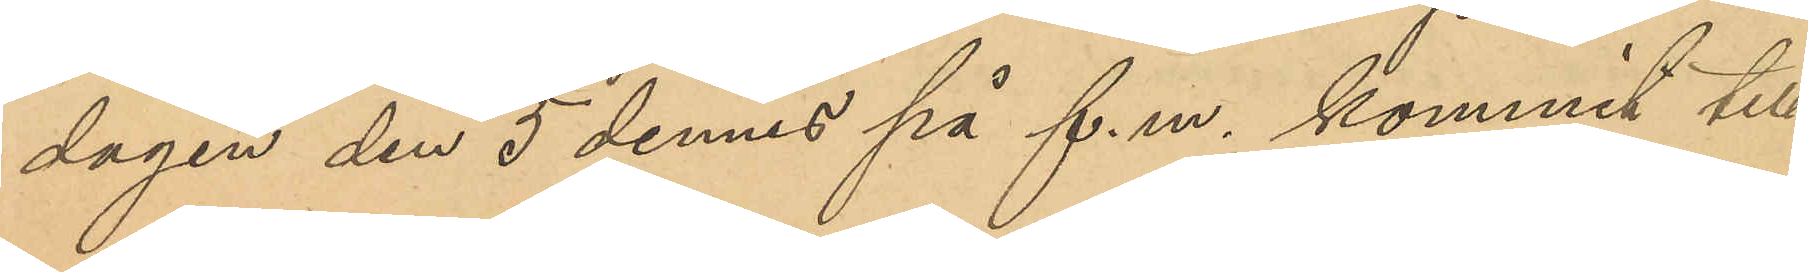dagen den 5 dennes på f. m. kommit till
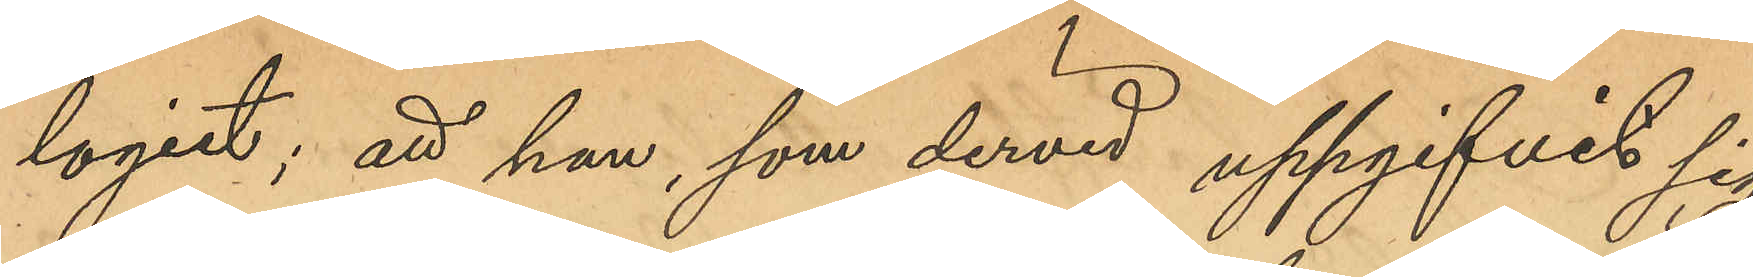logiet; att han, som dervid uppgifivt sig
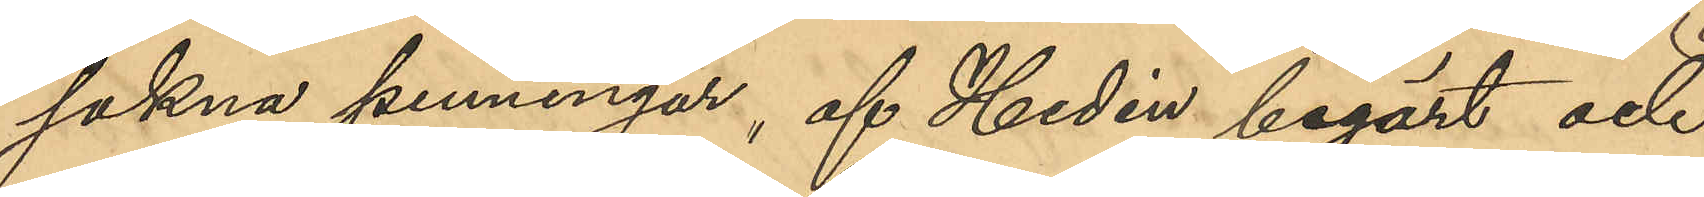sakna penningar, af Hedén begärt och 
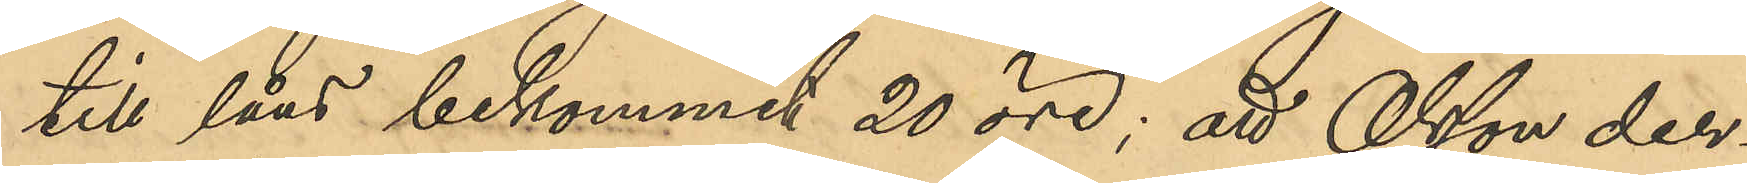till låns bekommit 20 öre; att Olsson der¬
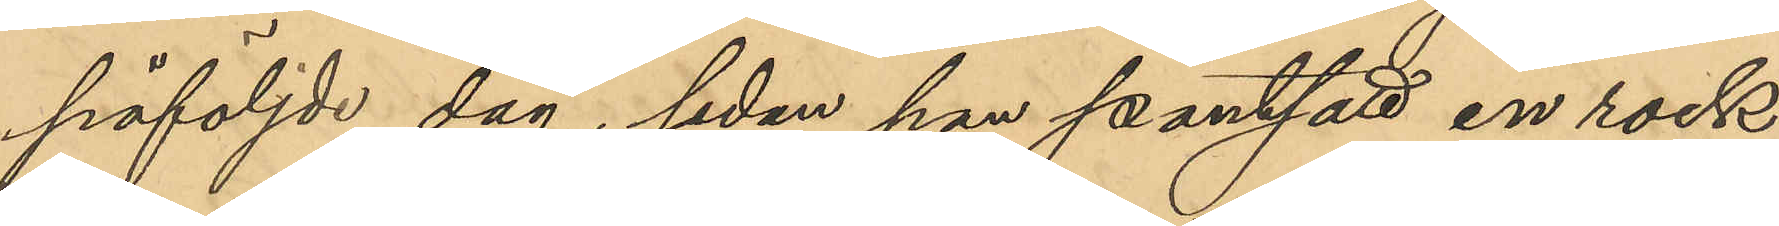påföljde dag, sedan han pantsatt en rock,
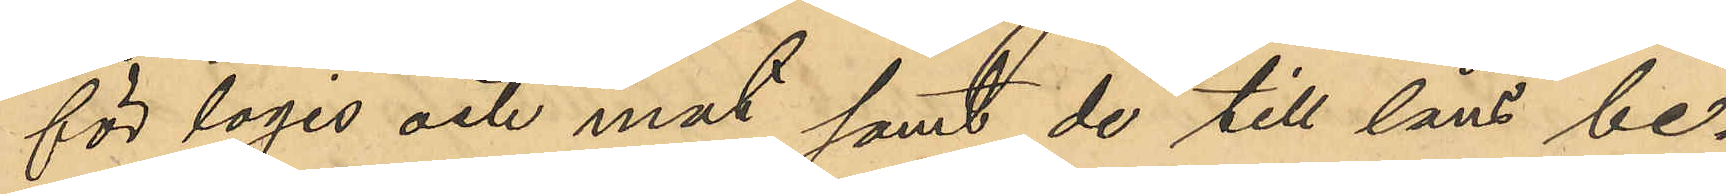för logis och mat samt de till låns be¬
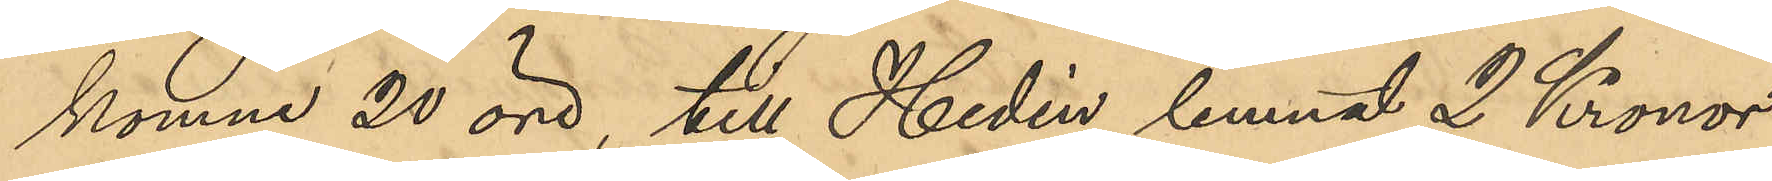komna 20 öre, till Hedén lemnat 2 Kronor
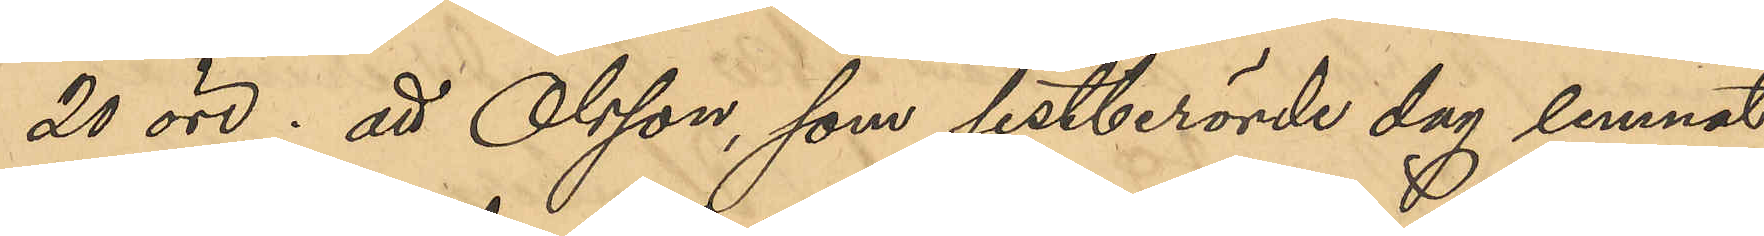20 öre; att Olsson, som sistberörde dag lemnat
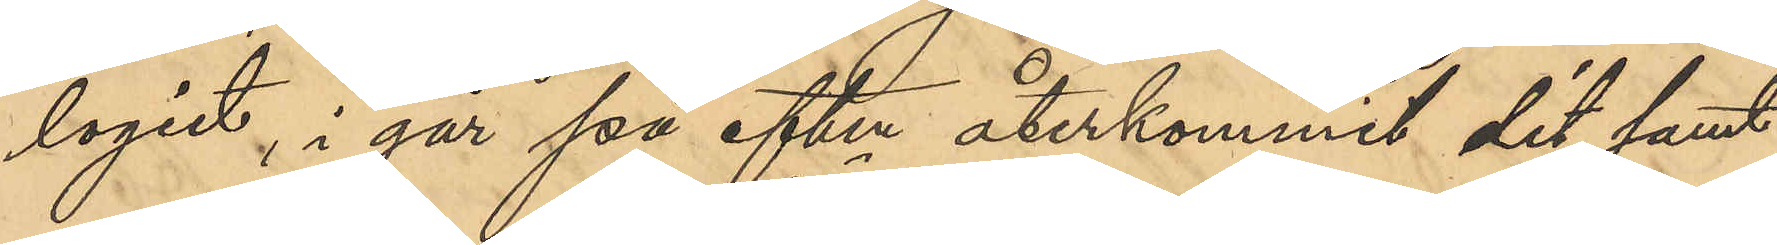logiet, i går på eftm återkommit dit, samt
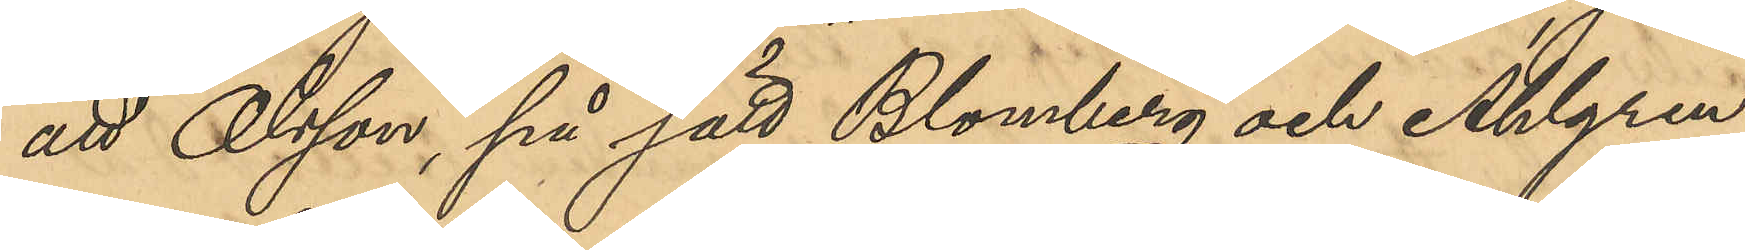att Olsson, på sätt Blomberg och Ahlgren
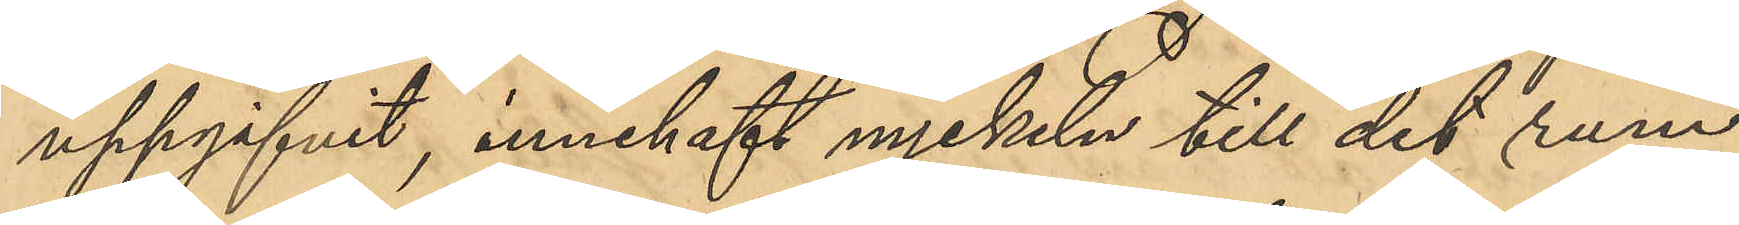uppgifvit, innehaft nyckeln till det rum
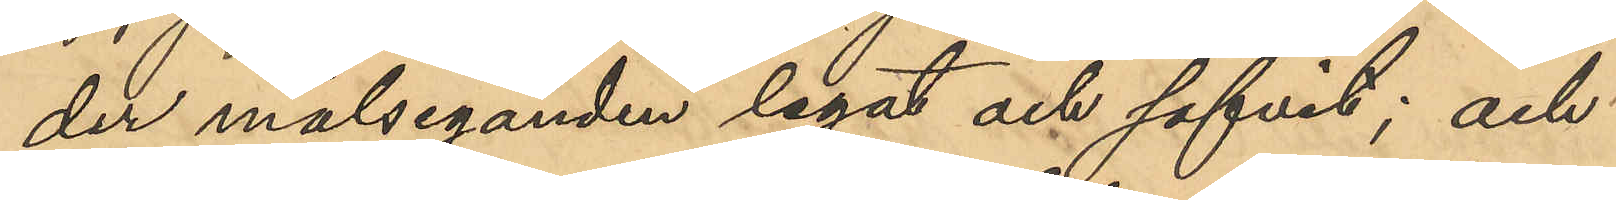der målseganden legat och sofvit; och
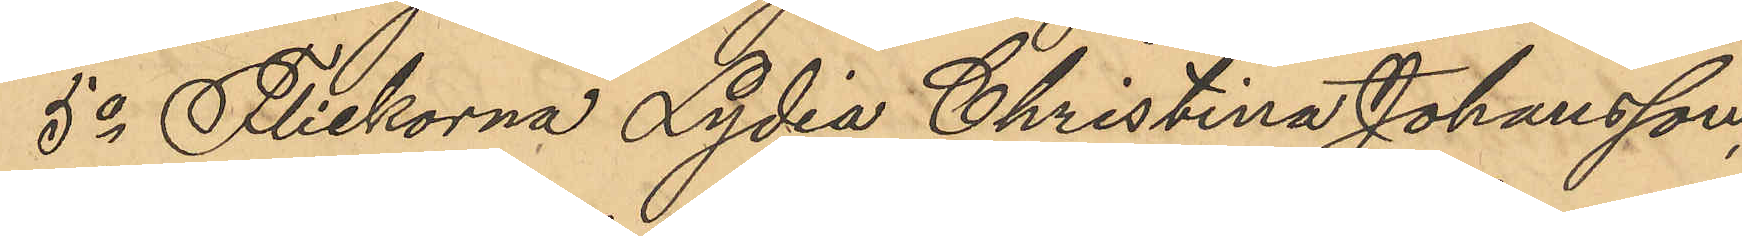5o Flickorna Lydia Christina Johansson,
